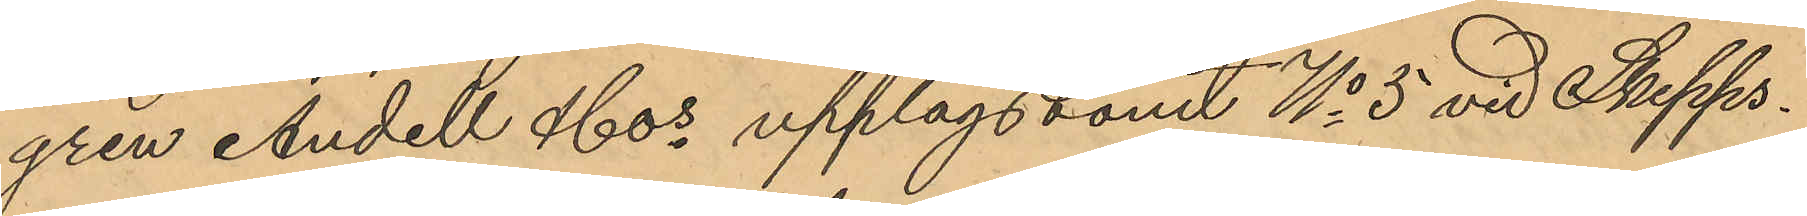gren Andell & Cos upplagstomt No 5 vid Skepps¬
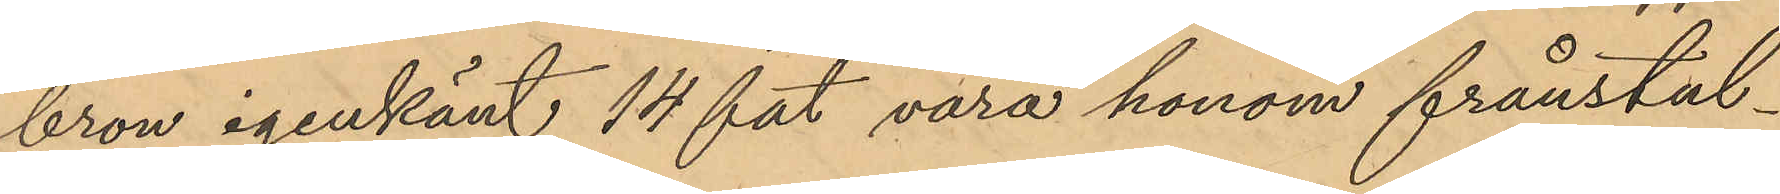bron igenkänt 14 fat vara honom frånstul¬
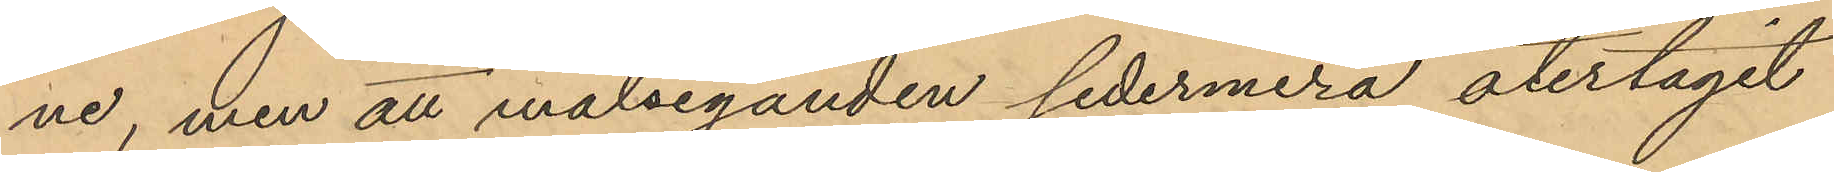ne, men att målseganden sedermera återtagit
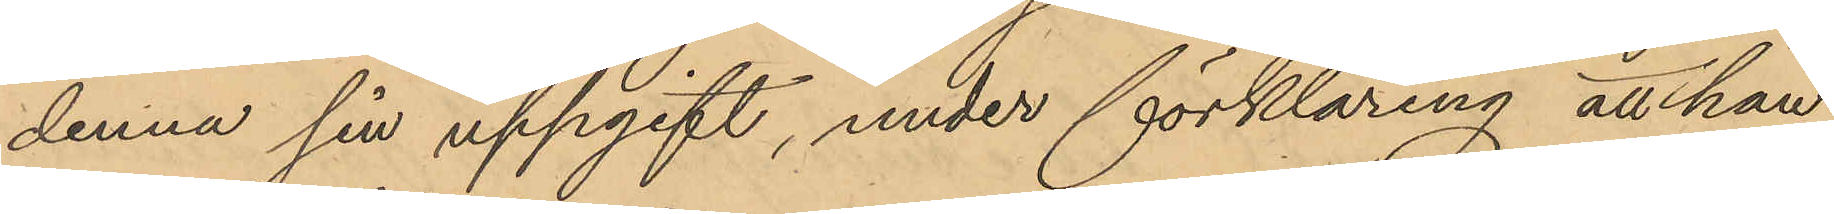denna sin uppgift, under förklaring, att han
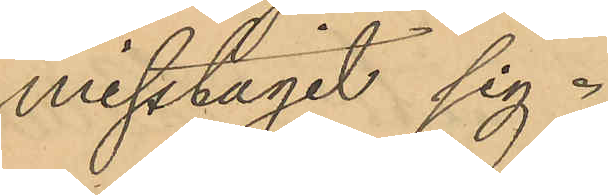misstagit sig.
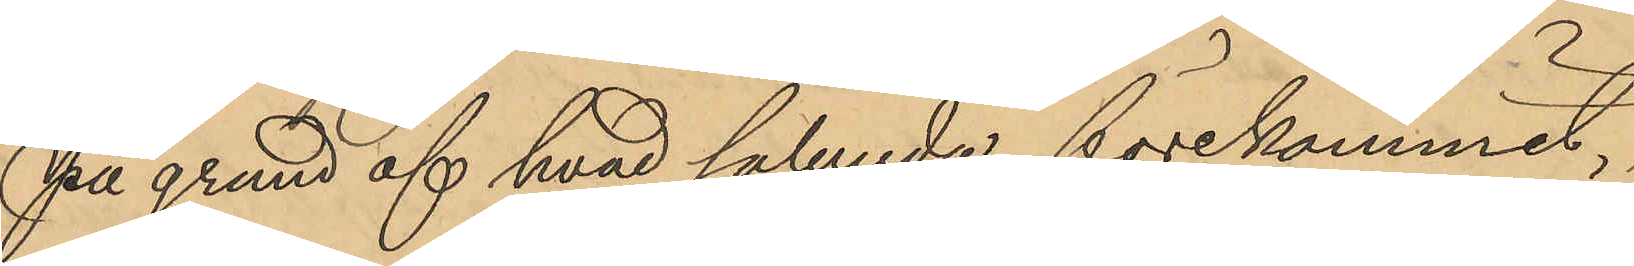På grund af hvad sålunda förekommit,
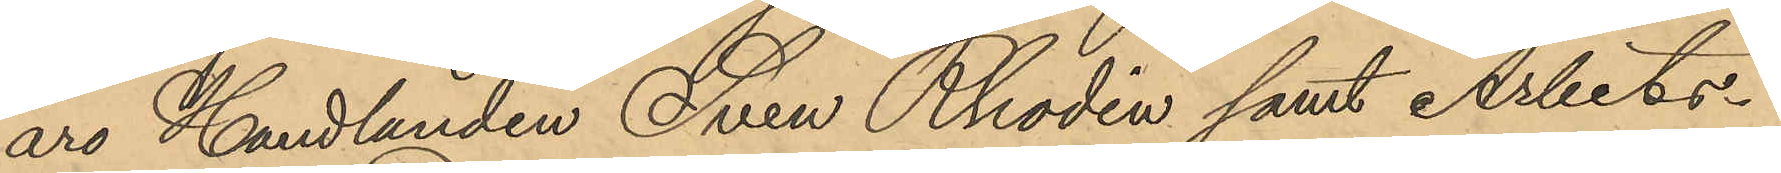äro Handlanden Sven Rhodin samt Arbets¬
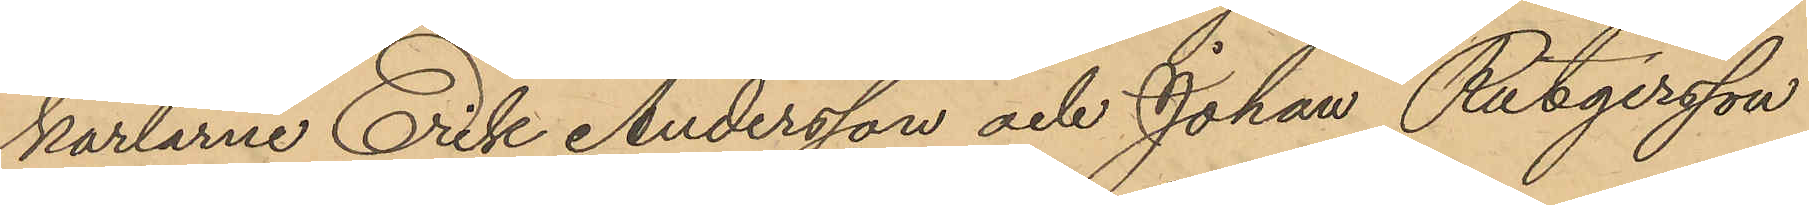karlarne Erik Andersson och Johan Rutgersson
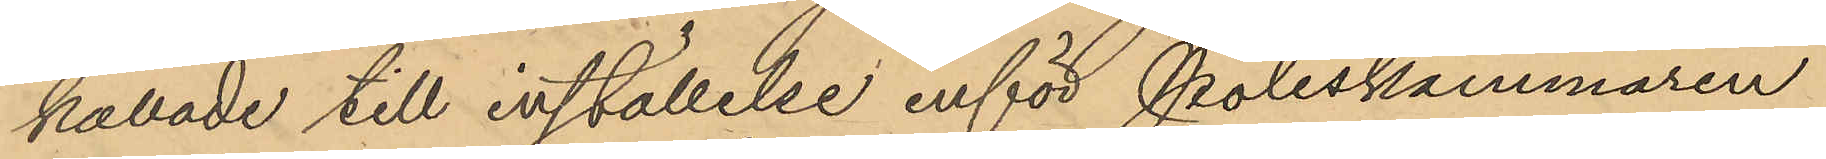kallade till inställelse inför Poliskammaren
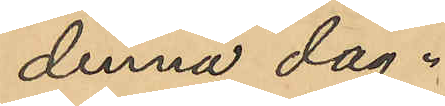denna dag.
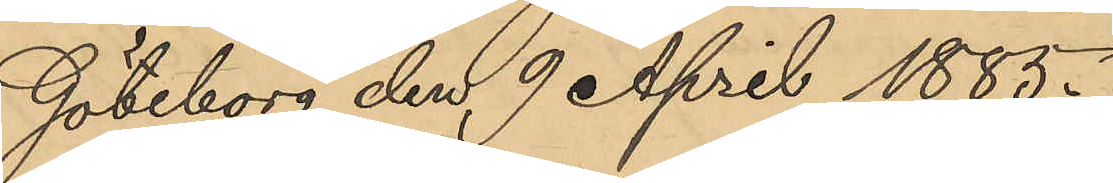Göteborg den 9 April 1885.
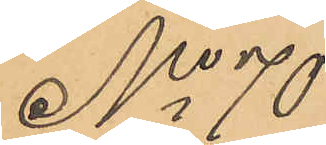No 70
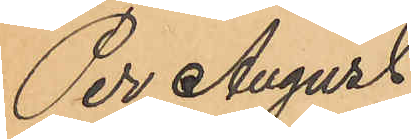Per August
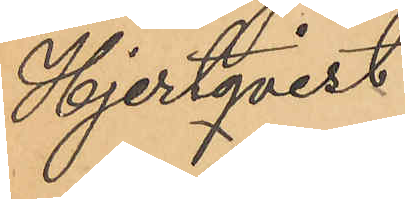Hjertqvist
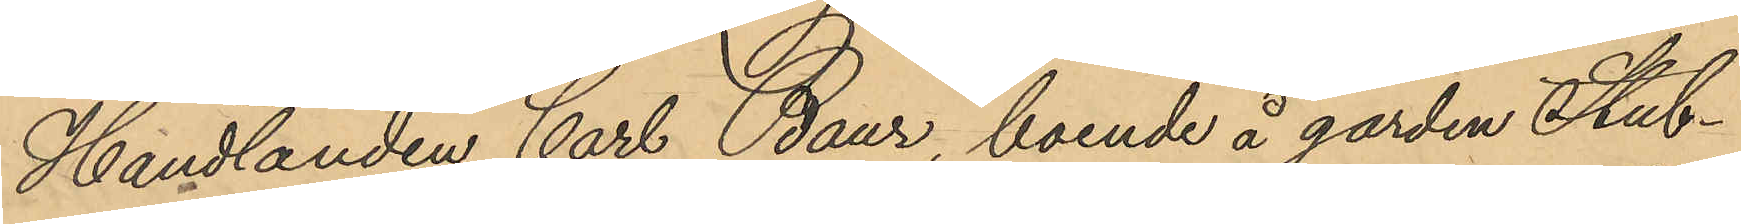Handlanden Carl Baur, boende å gården Stub¬
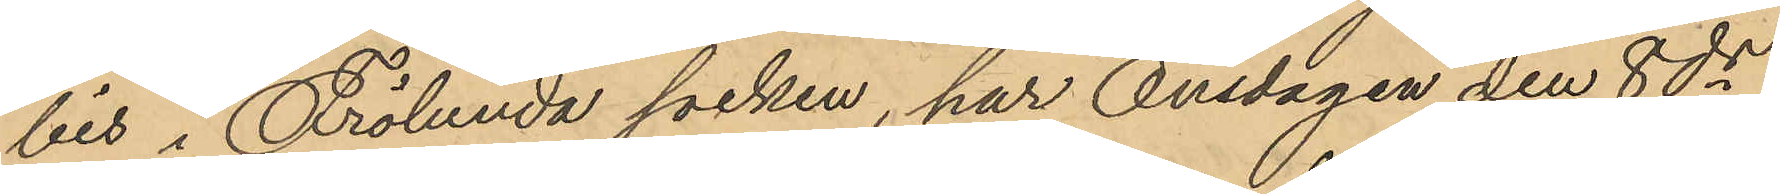bis i Frölunda socken, har Onsdagen den 8 ds
